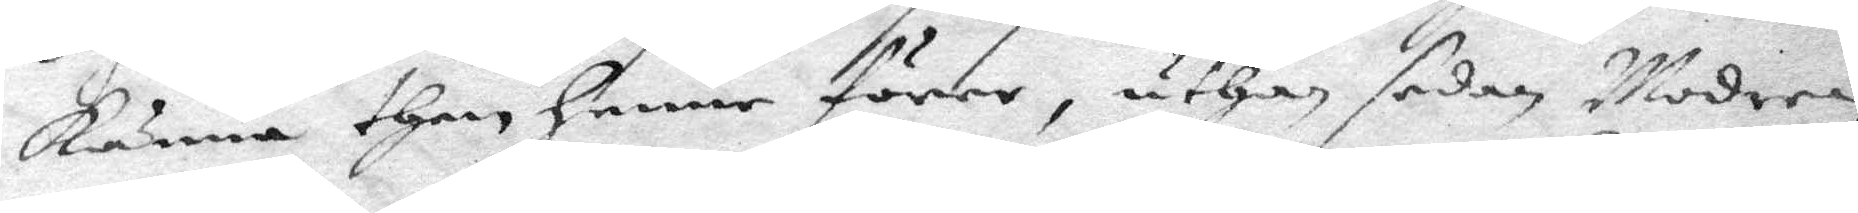känna then henne förer, uthan sedan Modren
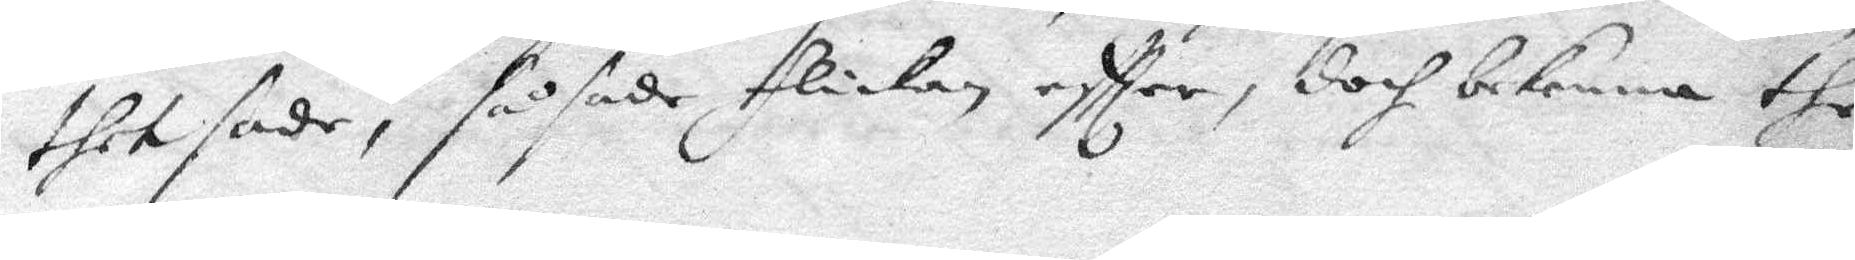thet sade, så sade flickan eftter, doch bekenne the
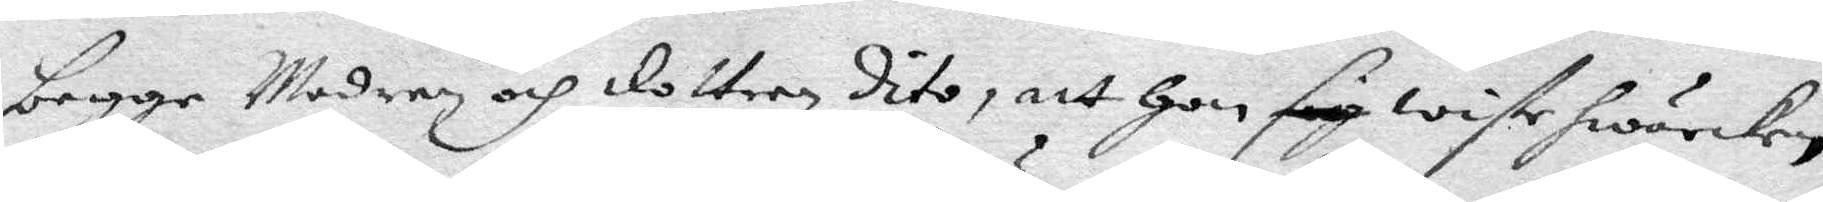begge Modren och dottern Dito, att hon sig wiste hwarcken
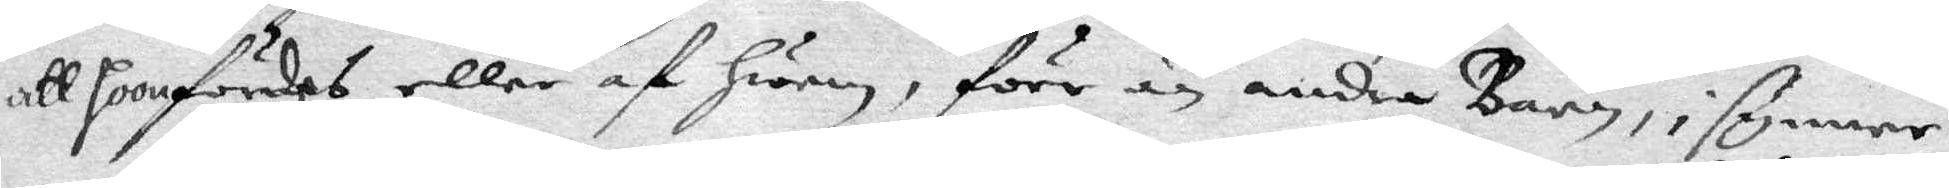att hoon fördes eller af hwem, förr än andre barn, i synner¬
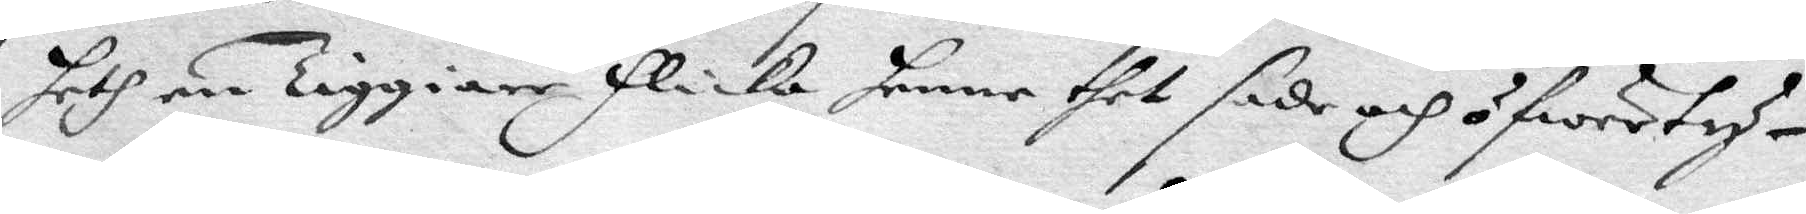heth en Tiggare flicka henne thet sade och öfwertyg¬
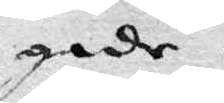gade.
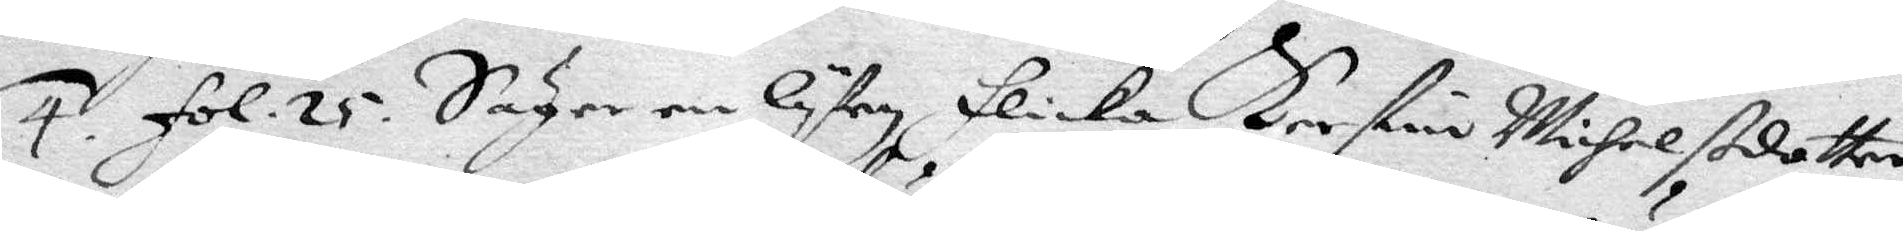4. fol. 25. Säger en lyten flicka Kerstin Michelßdotter
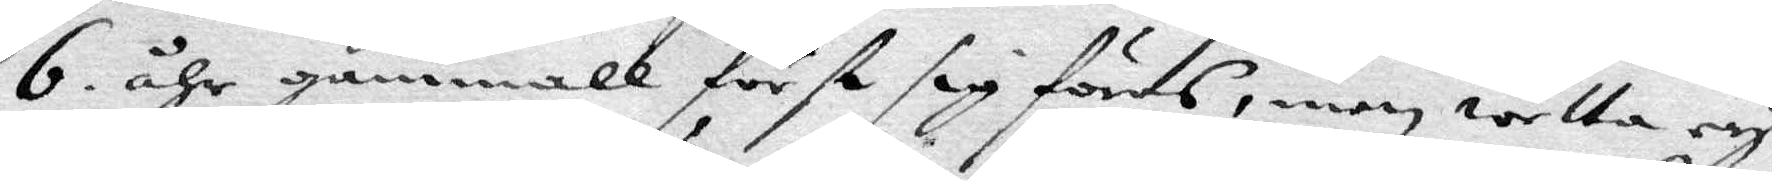6. åhr gammall först sig föras, men wetta ey
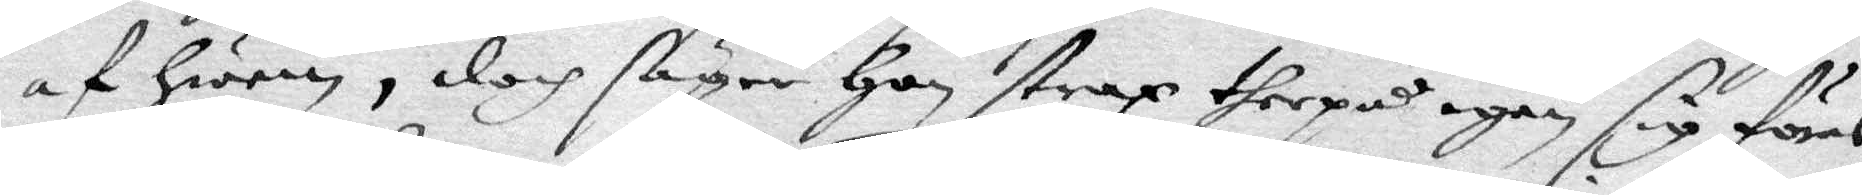af hwem, doch säger hon straz therpå igen sig föras
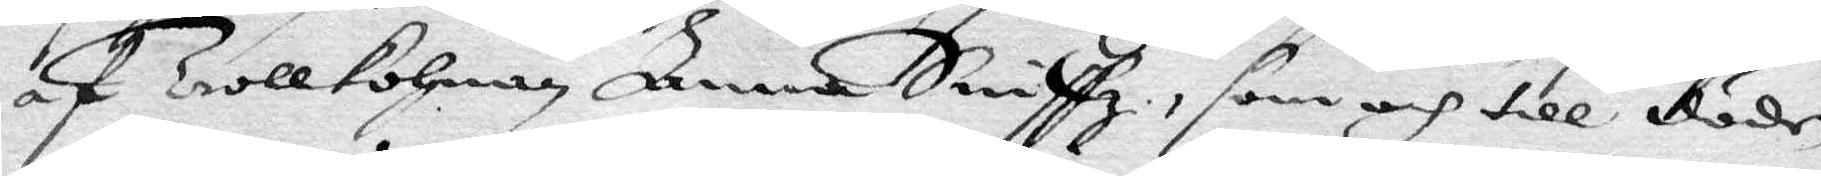af Trollkohan Anna Sniffz, som och till döden
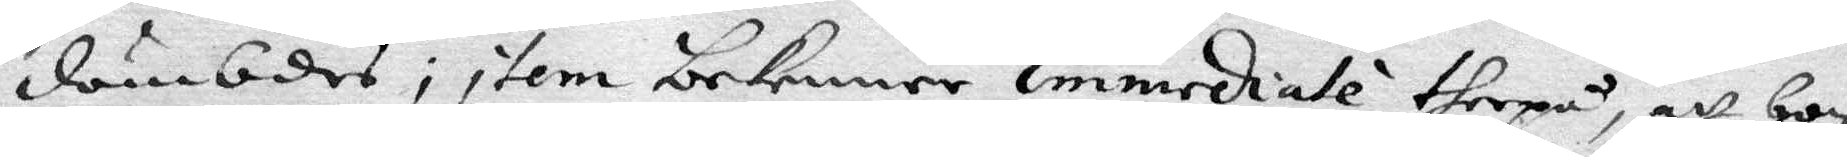dömbdes, item bekenner immediale therpå, att hon
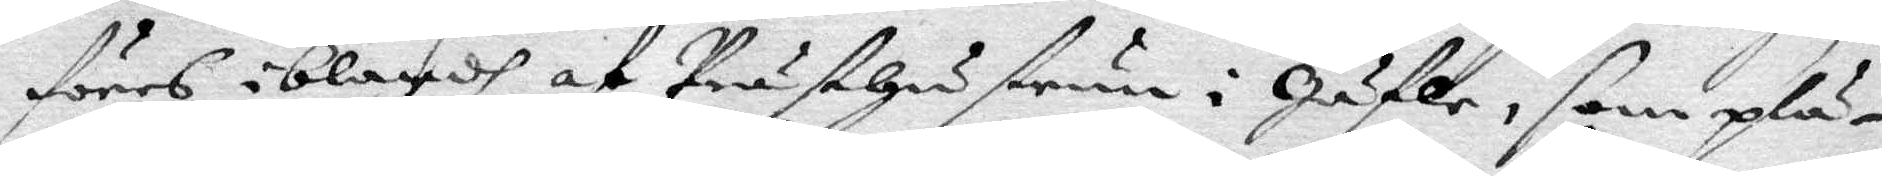föres iblandh af Prästhustrun i Gäfle, som plä¬
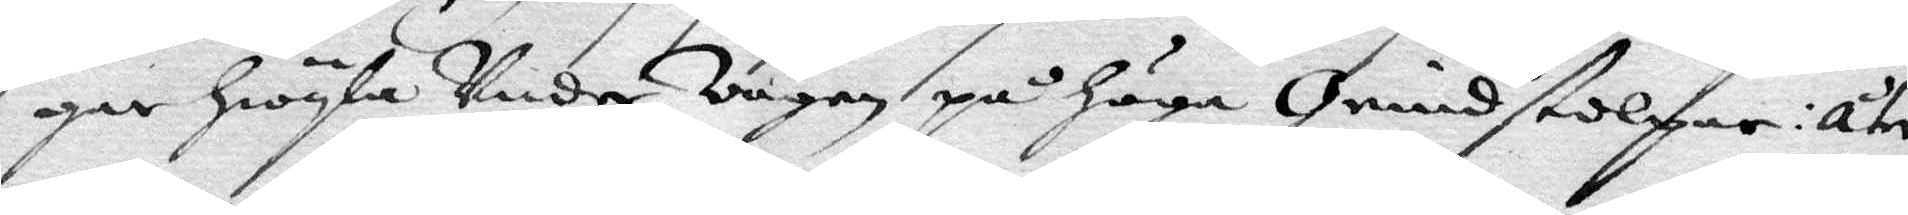gar hiöyla under vägen på höga Grindstolpar: åter
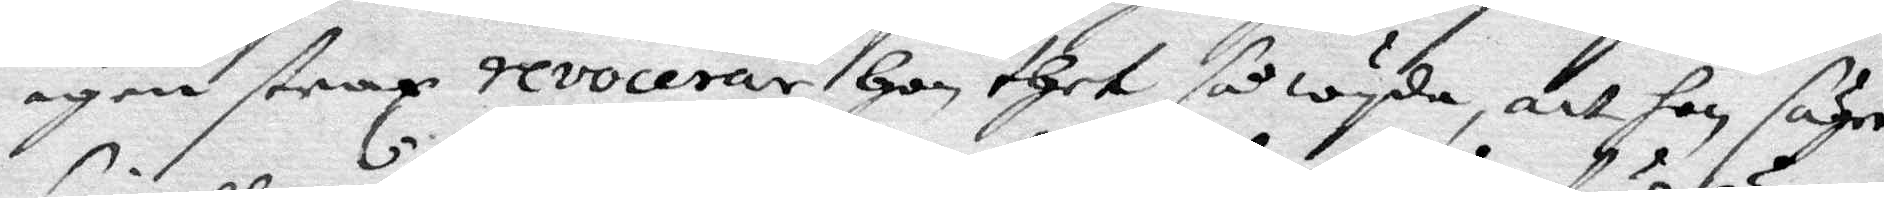igen strax revocerar hon thet så wyda, att hon säger
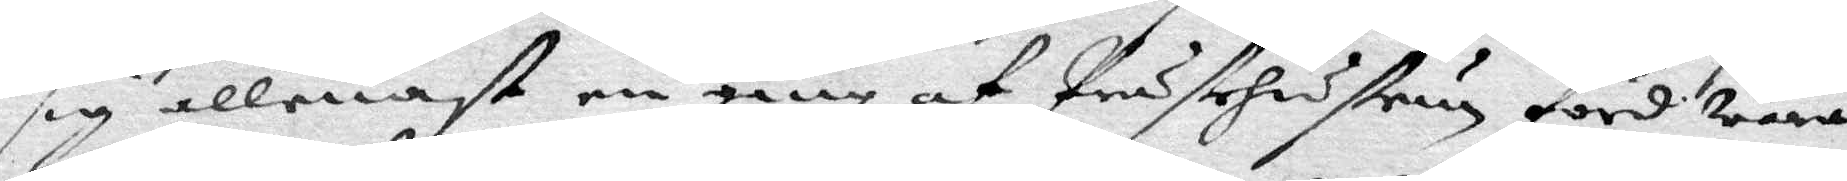sig allenast en gång af Prästehustrun förd wara,
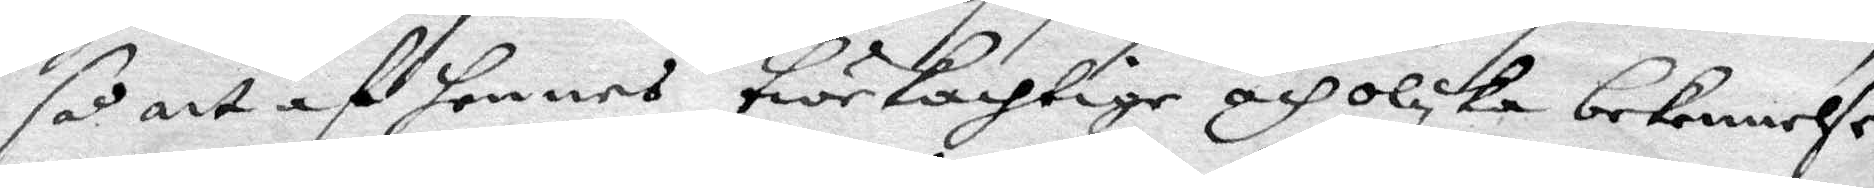så att af hennes twekachtige och olika bekennelse
